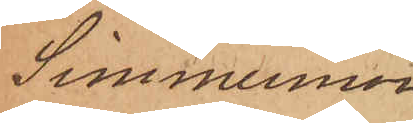Simmermon
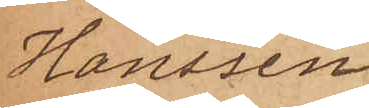Hanssen
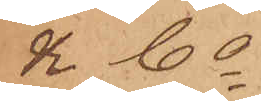& Co.
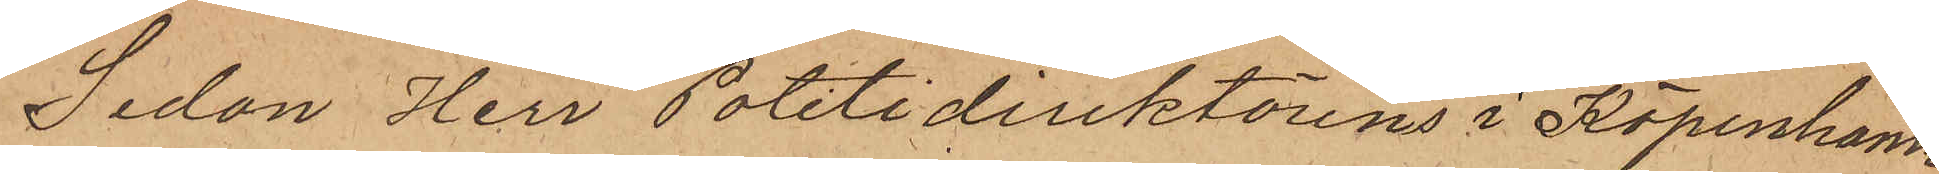Sedan Herr Politidirektörens i Köpenhamn
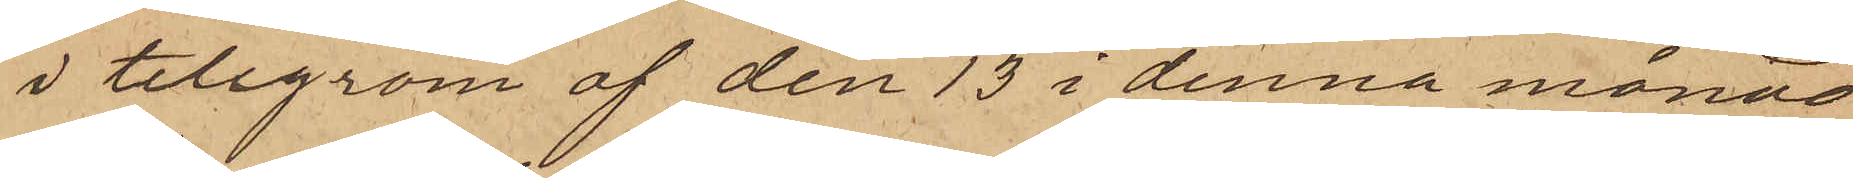i telegram af den 13 i denna månad
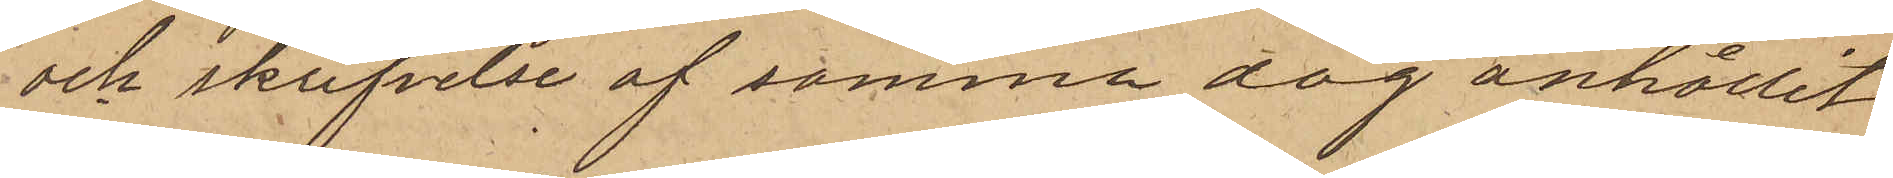och skrifvelse af samma dag anhållit
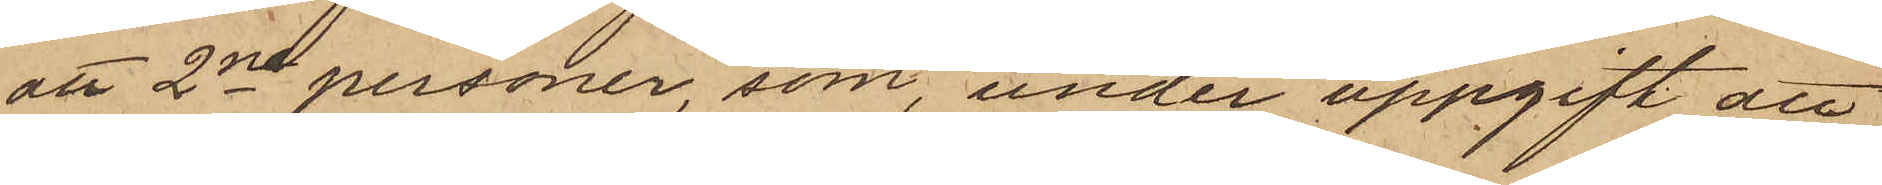att 2ne personer som, under uppgift att
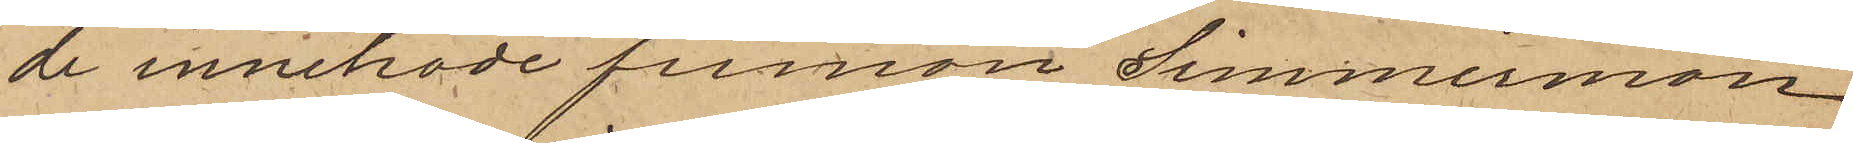de innehade firman Simmermon
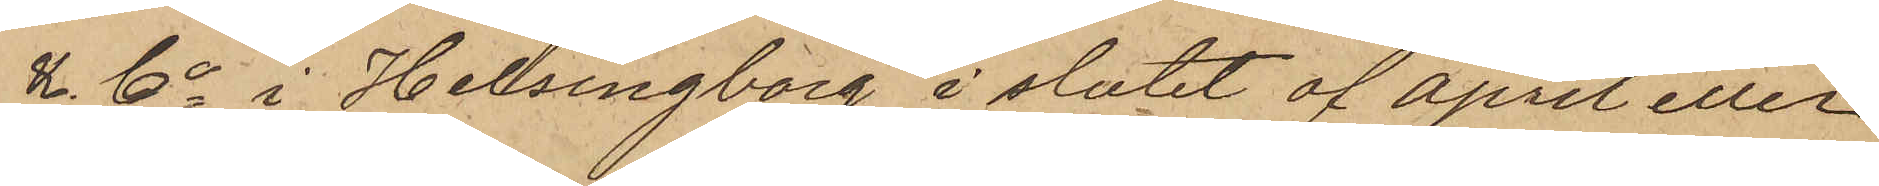& Co i Hellsingborg, i slutet af April eller
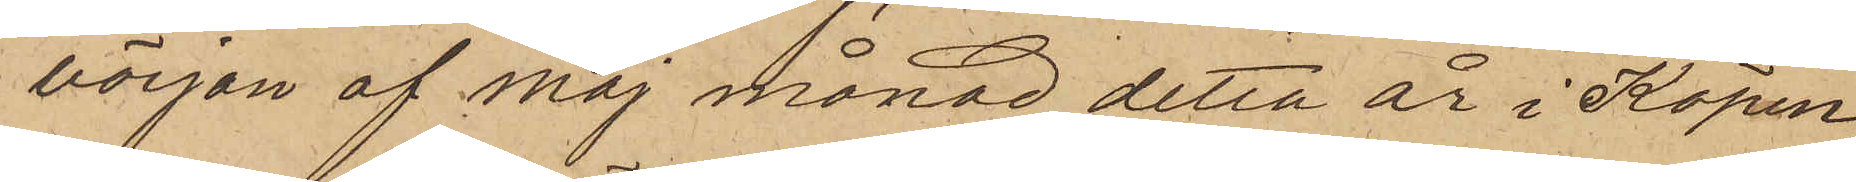början af Maj månad detta år i Köpen¬
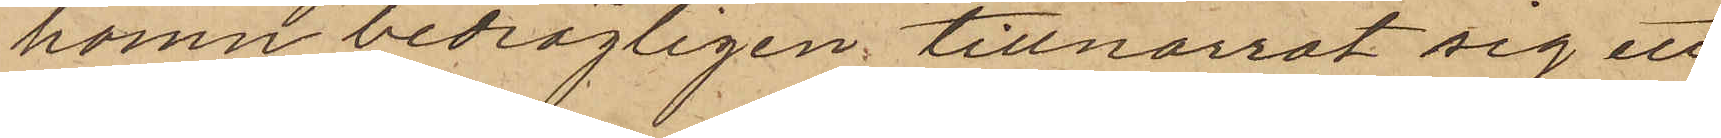homn bedrägligen tillnarrat sig ett
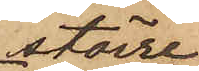större
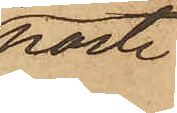parti
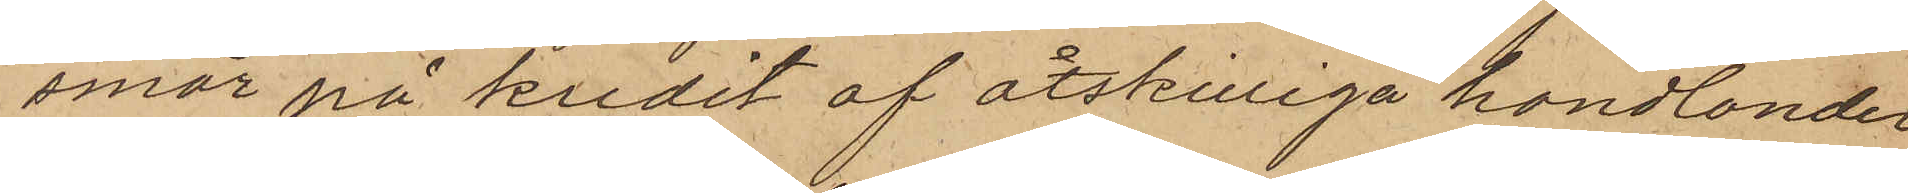smör på kredit af åtskilliga handlander
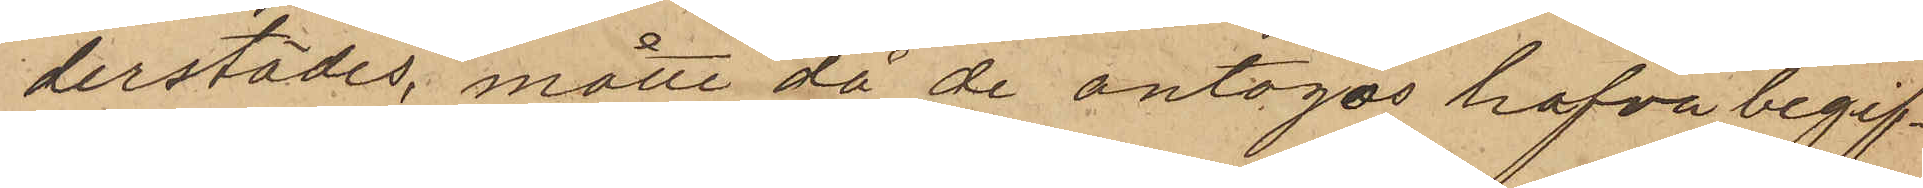derstädes, måtte då de antogos hafva begif¬
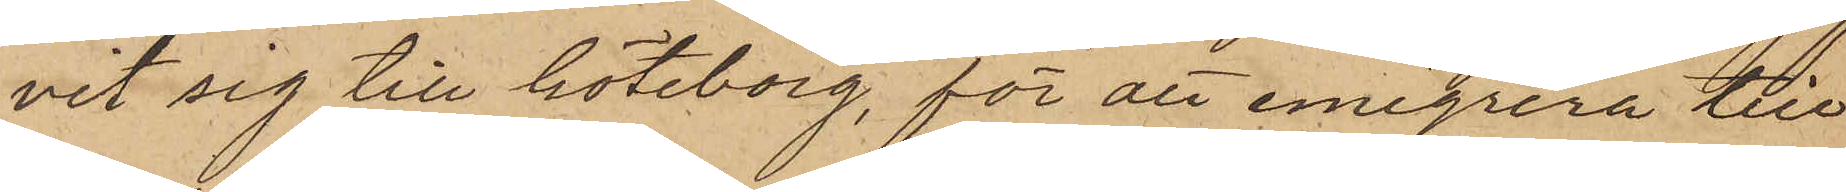vit sig till Göteborg, för att emigrera till
